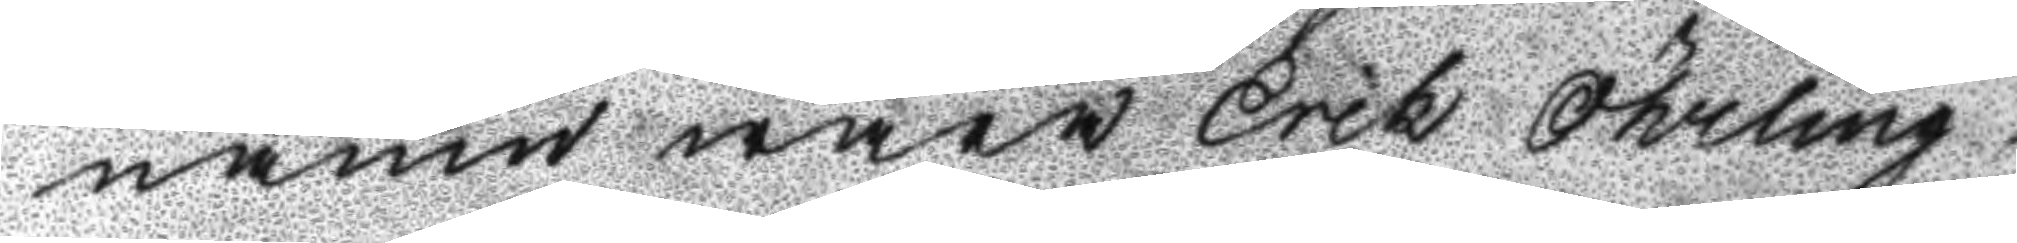namn wara Erik Öhrling
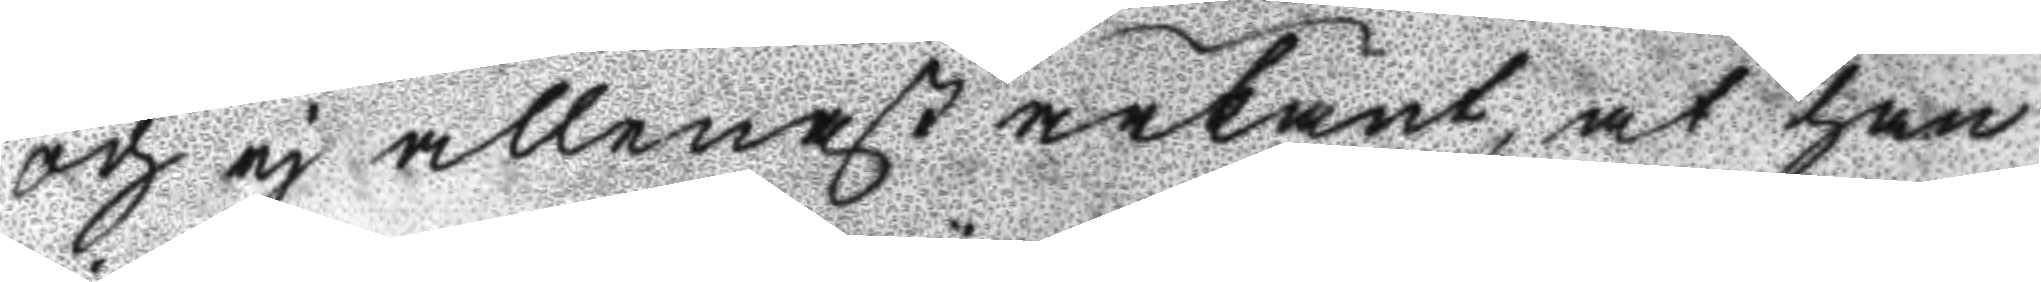och ej allenast ärkänt, at han
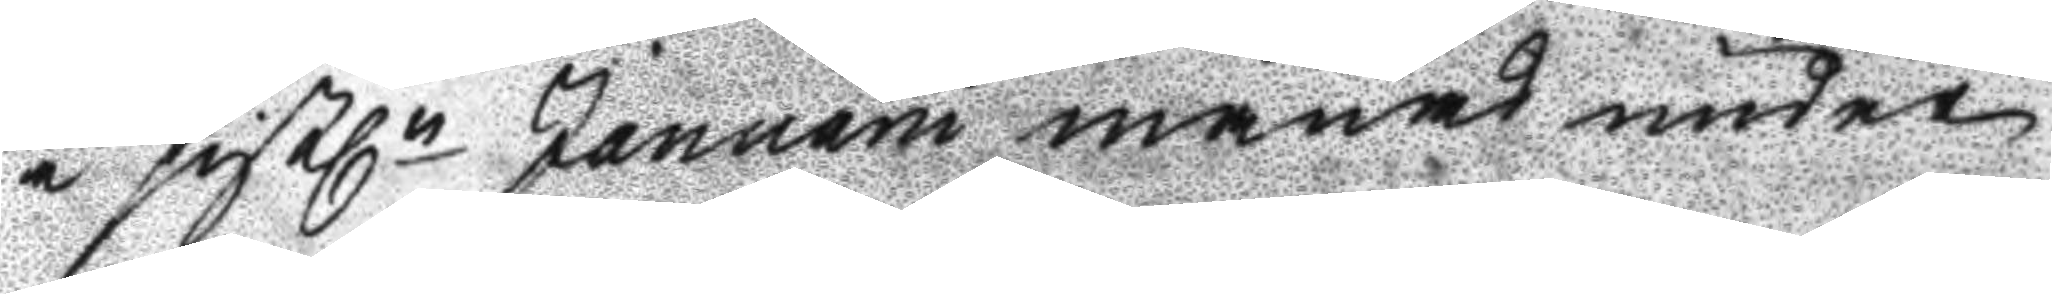i sistln Januarii månad under
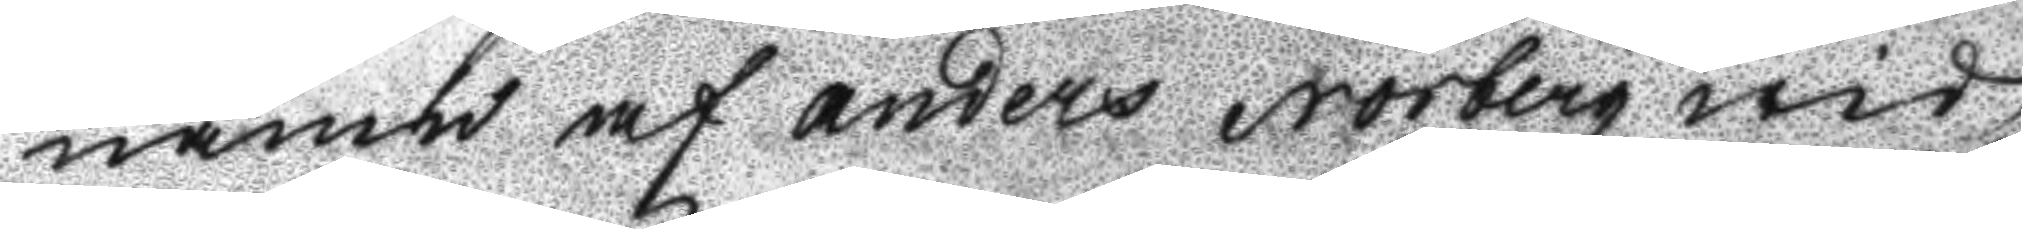namn af anders Norberg wid
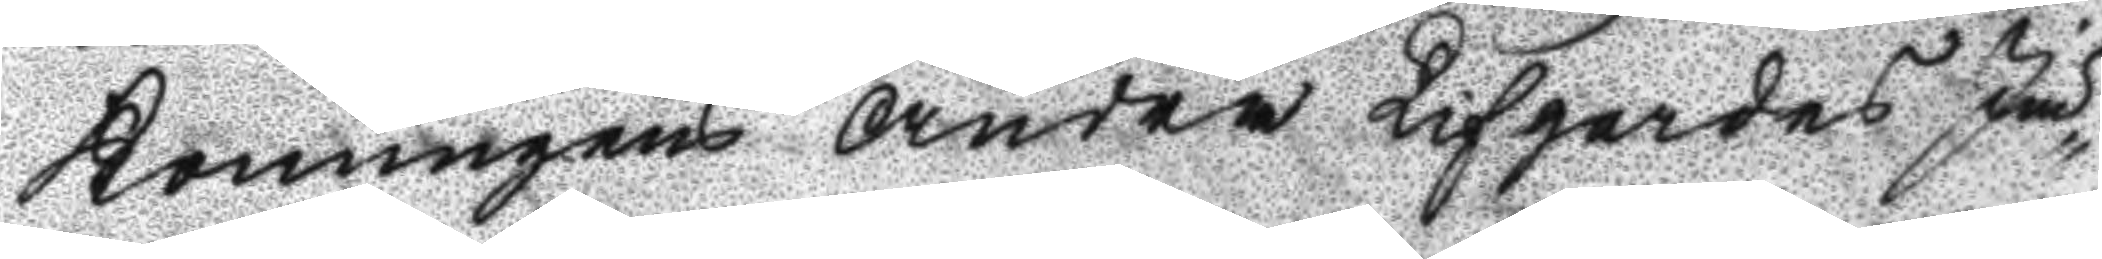Konungens Andra Lifgardes Jä¬
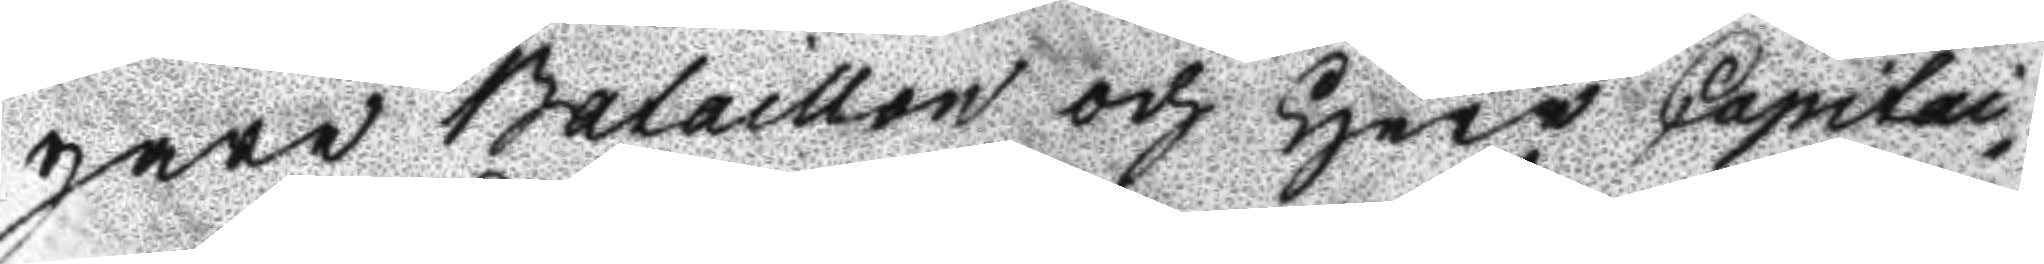gare Bataillon och Herr Capitai¬
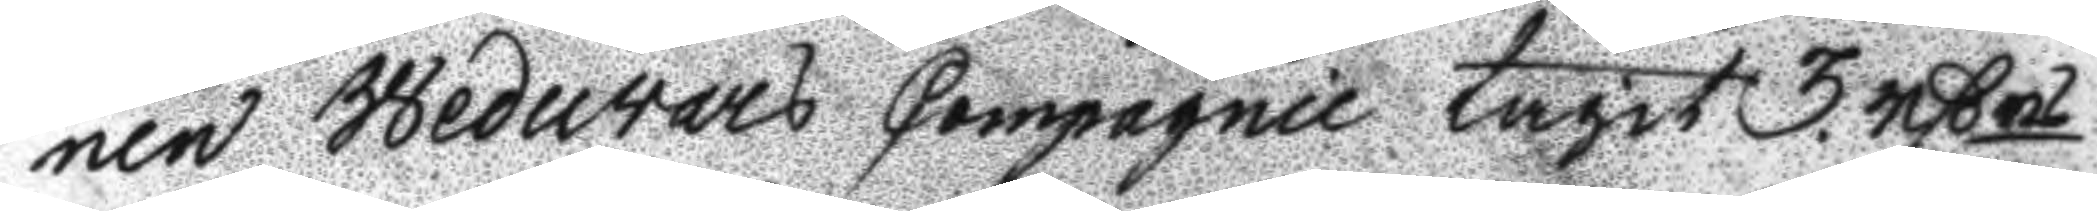nen Wedurars Compagnie tagit 3. rßrs
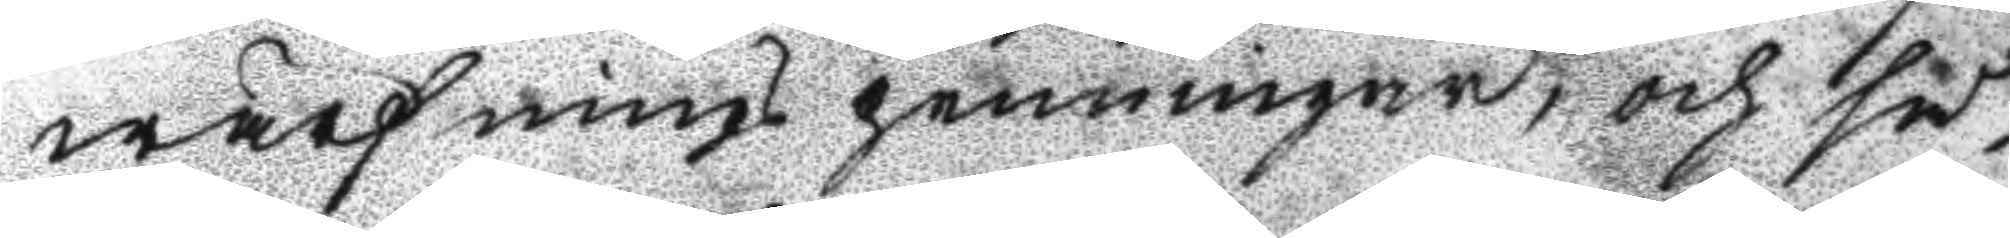wärfnings penningar, och så¬
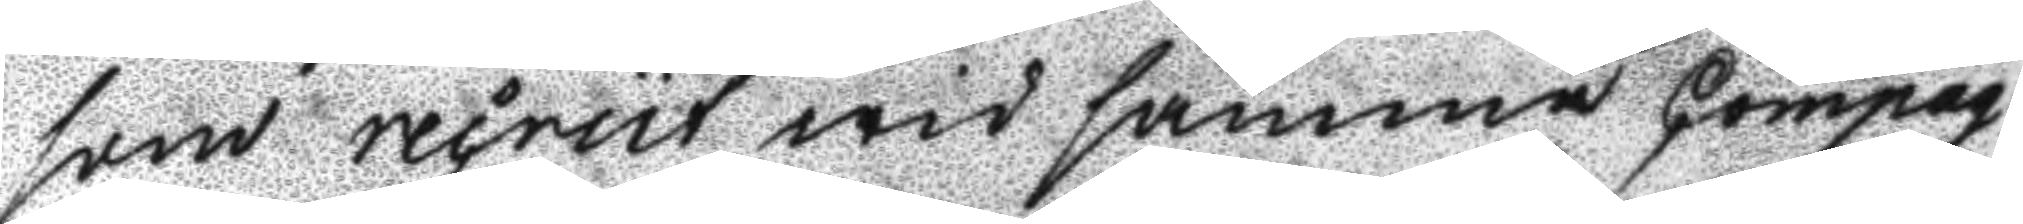som recrut wid samma Compag¬
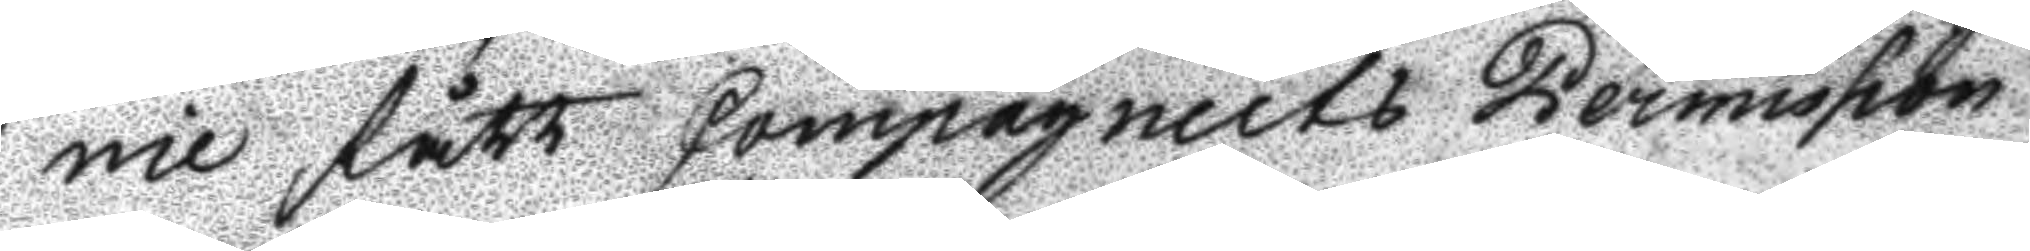nie fått Caompagniets Permission
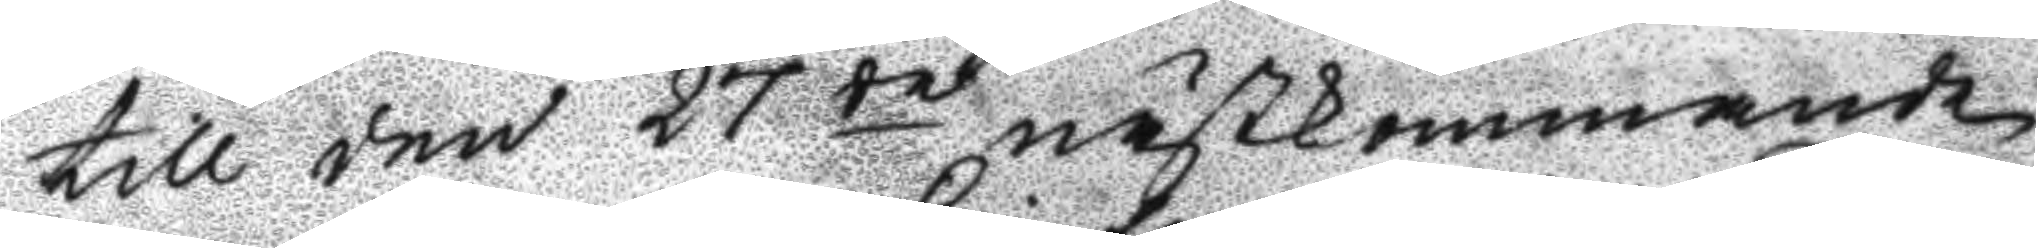till den 27de nästkommande
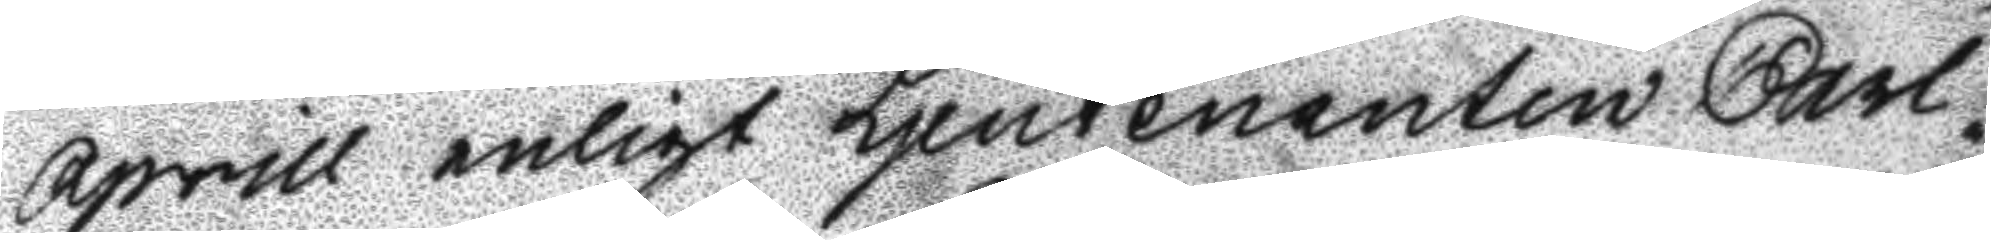Aprill enligt Ljeutenanten Carl¬
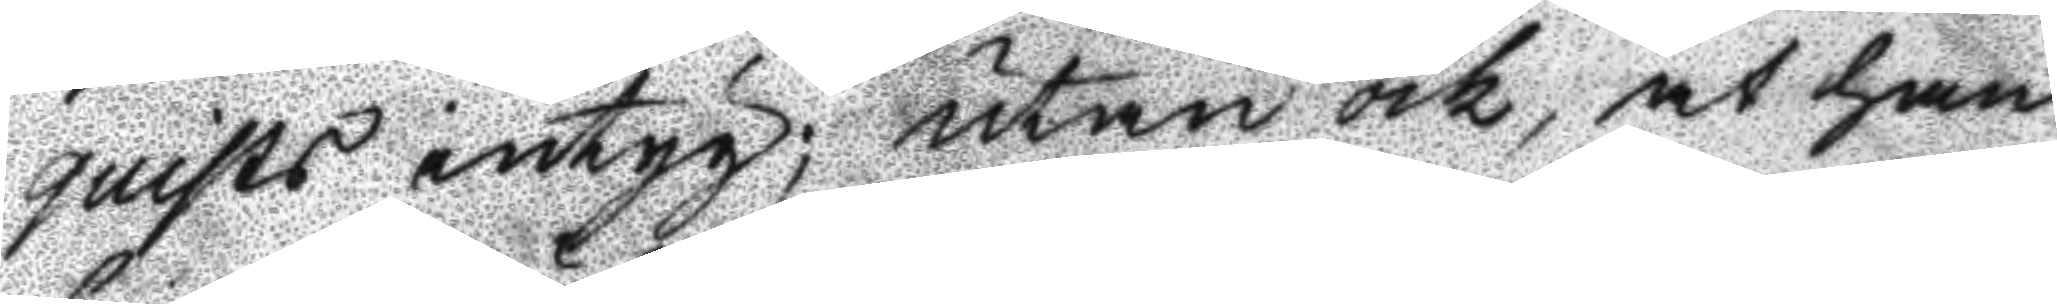quists intyg; utan ock, at han
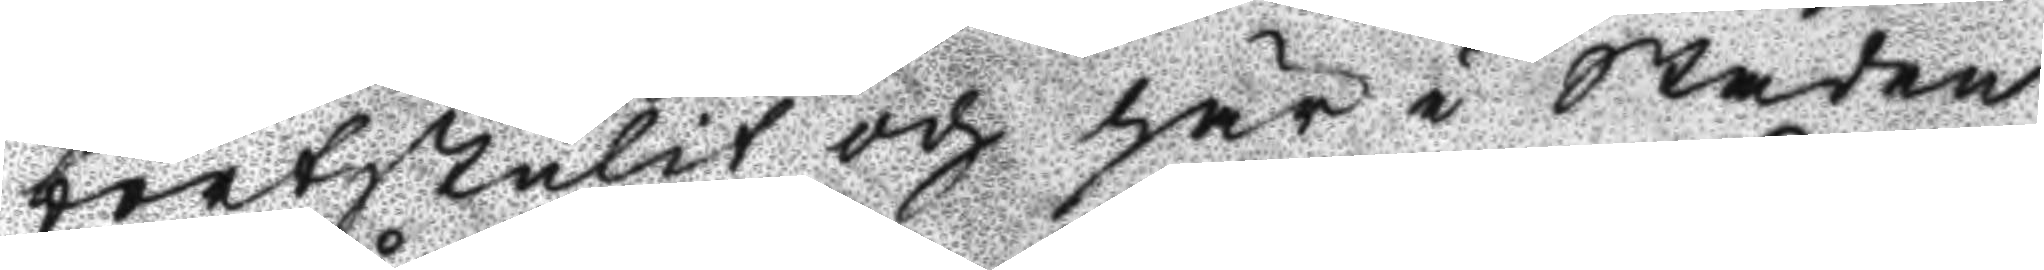bortstulit och här i Staden
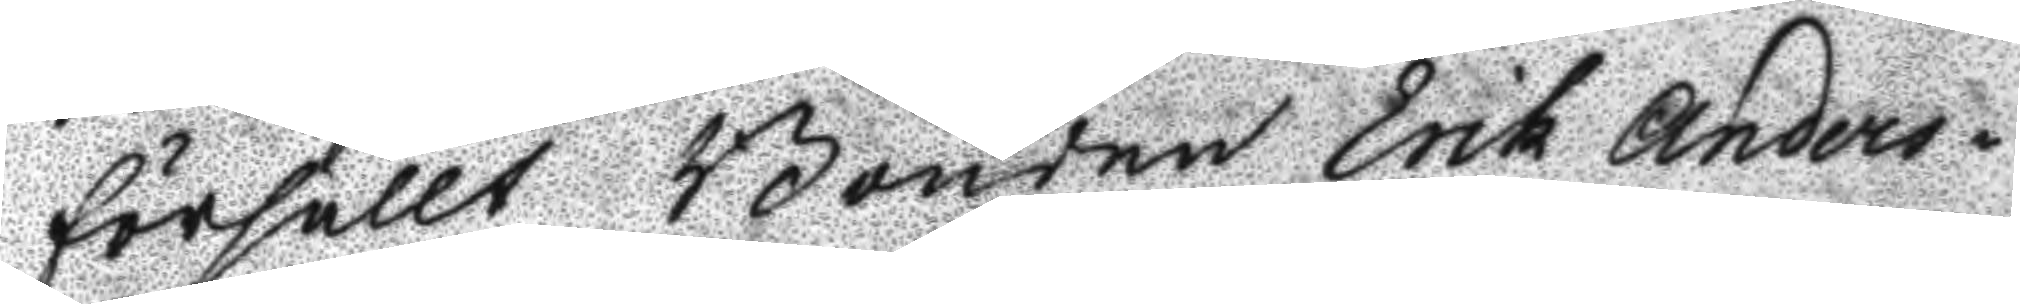försållt Bonden Erik Anders¬
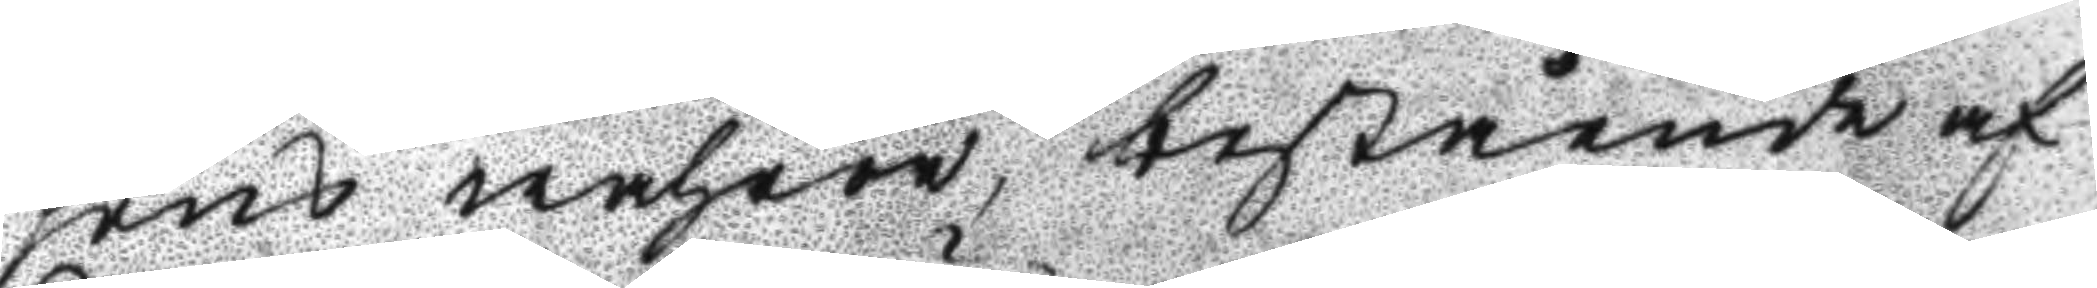sins wahror, bestående af
